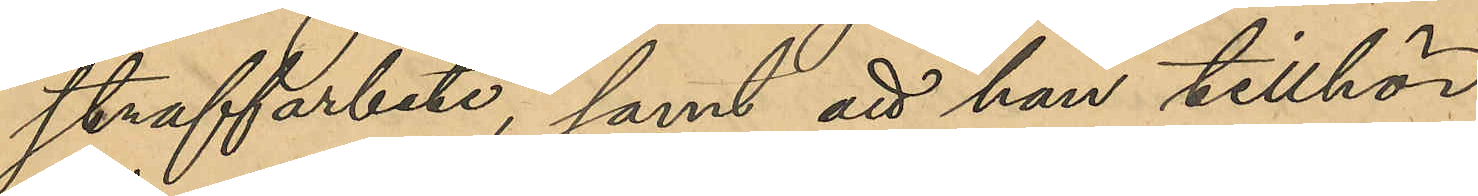straffarbete, samt att han tillhör
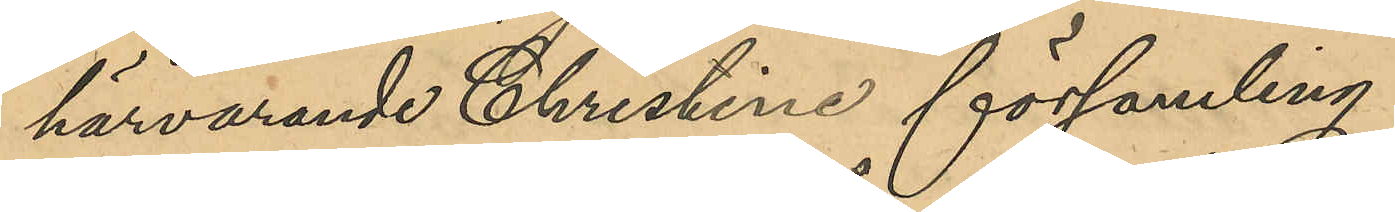härvarande Christine församling.
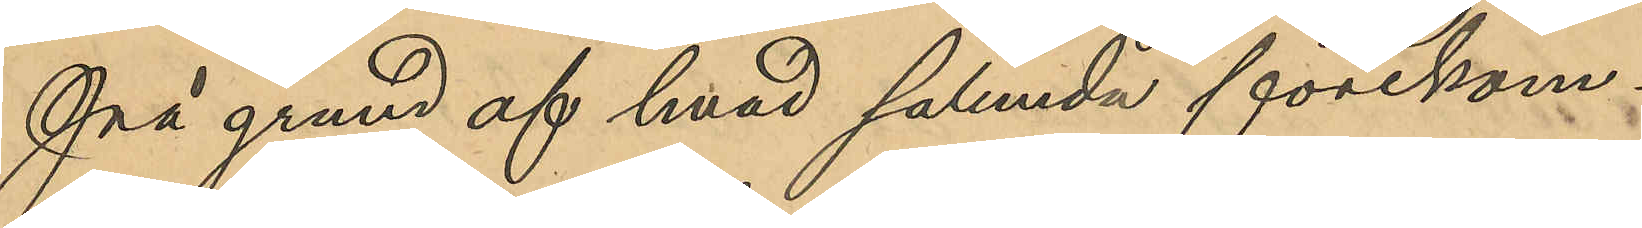På grund af hvad sålunda förekom¬
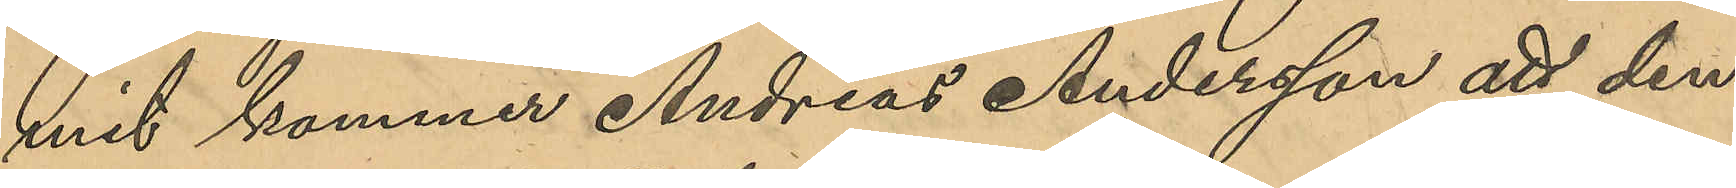mit kommer Andreas Andersson att den¬
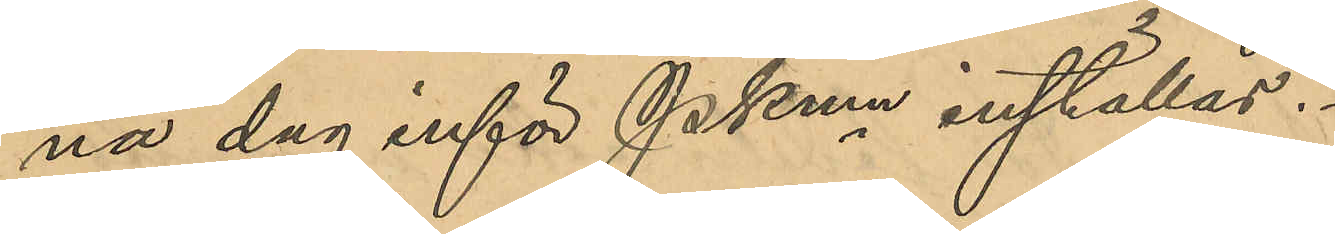na dag inför PKmn inställas.
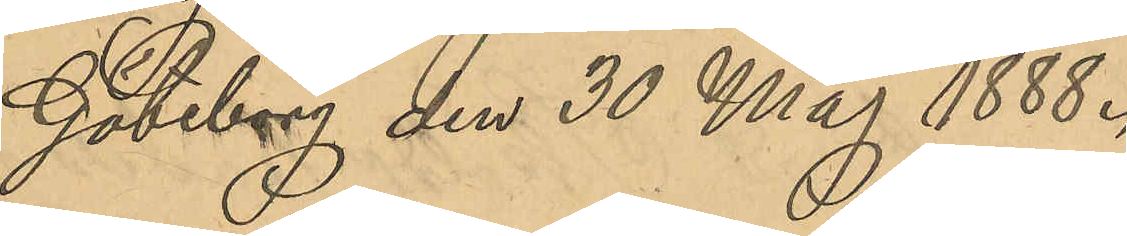Göteborg den 30 Maj 1888.
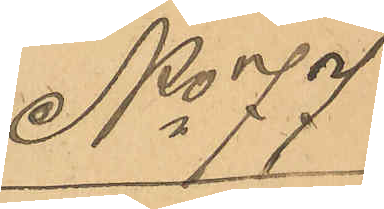No 77
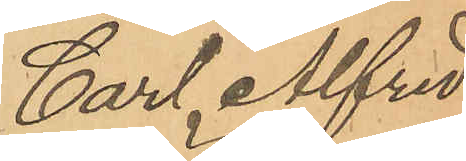Carl Alfred
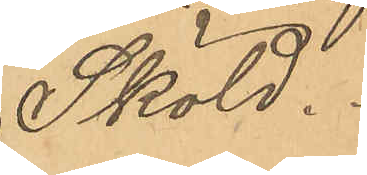Sköld.
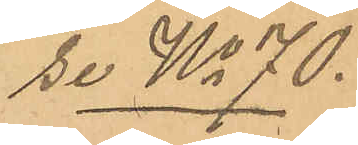Se No 70.
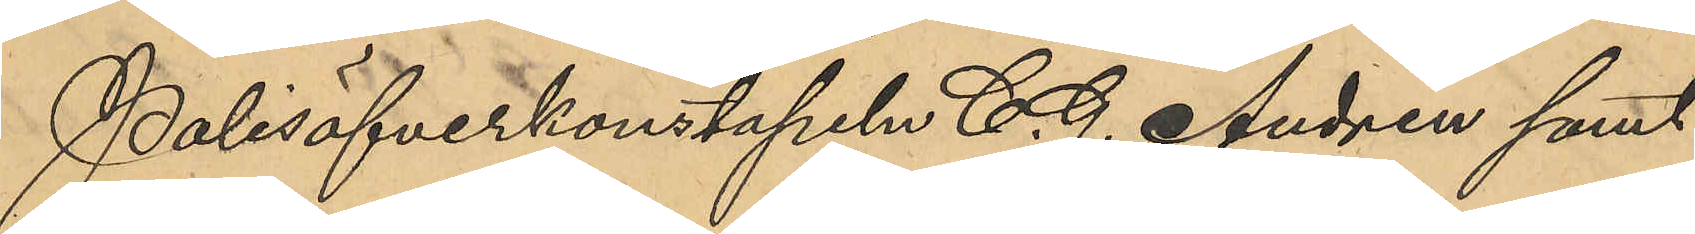Polisöfverkonstapeln C. G. Andrén samt
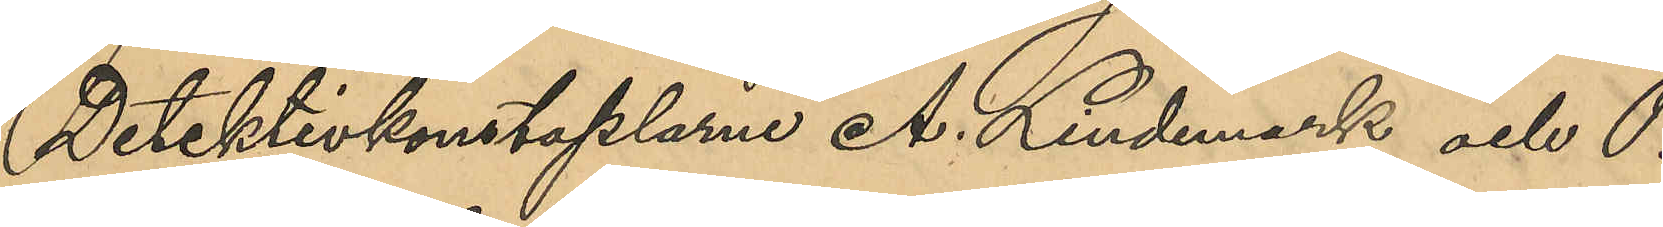Detektivkonstaplarne A. Lindmark och P.
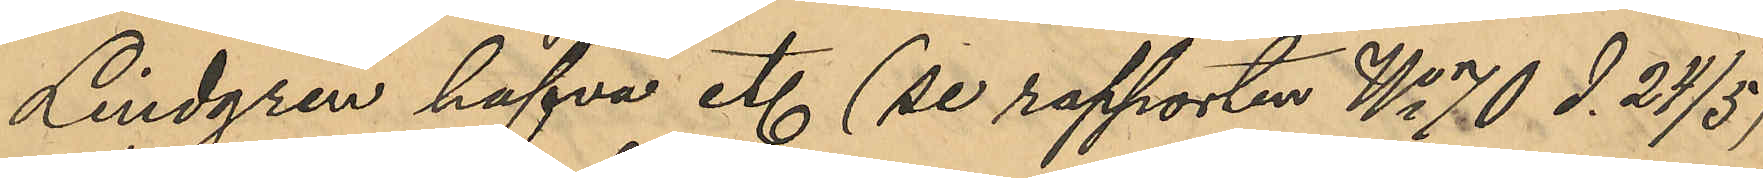Lindgren hafva etc (se rapporten No 70 d. 24/5)
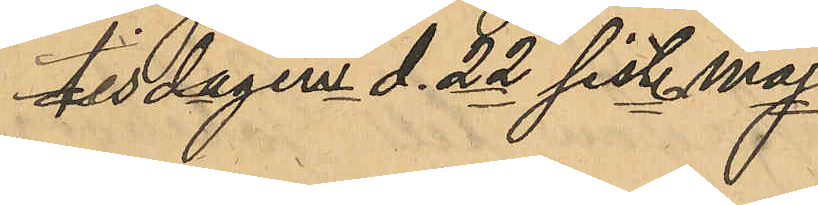tisdagen d. 22 sist. maj
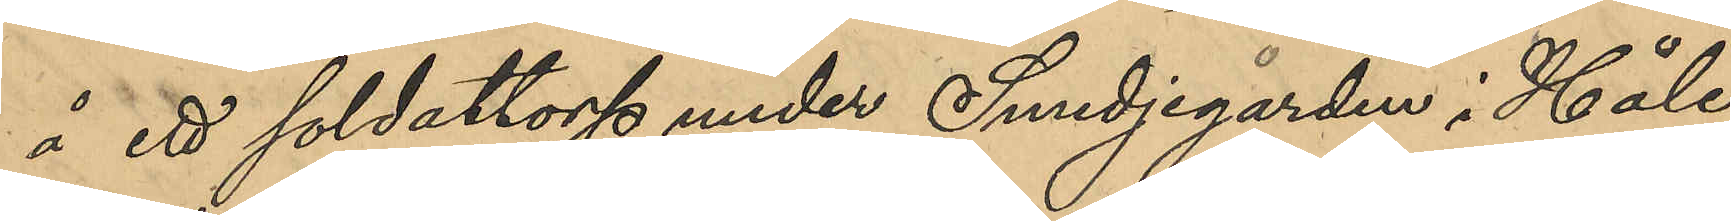å ett soldattorp under Smedjegården i Håle
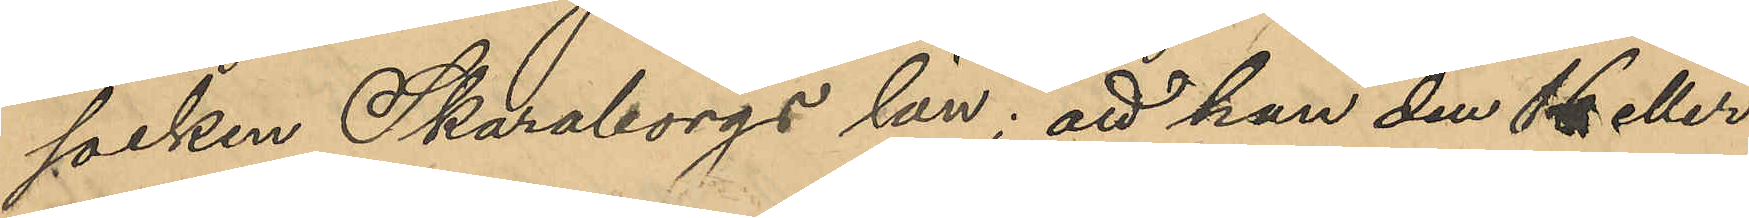socken Skaraborgs län; att han den 16 eller
